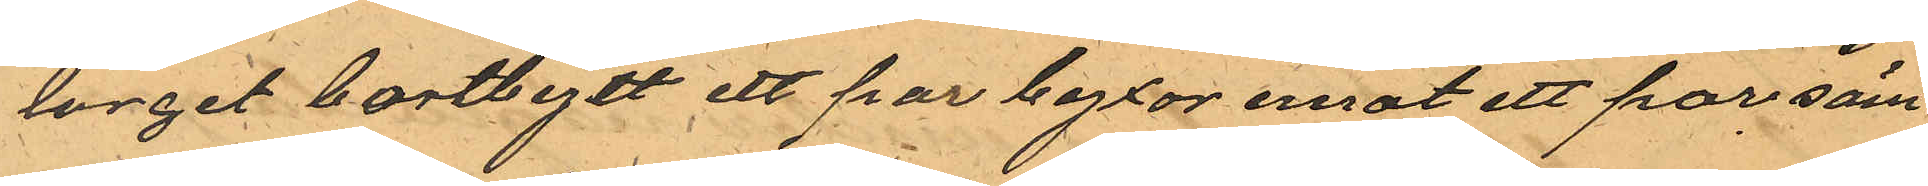torget bortbytt ett par byxor emot ett par säm¬
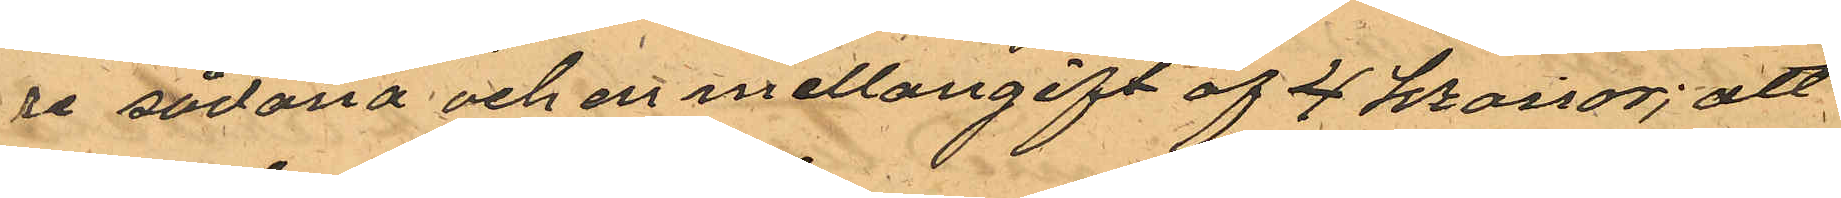re sådana och en mellangift af 4 kronor; att
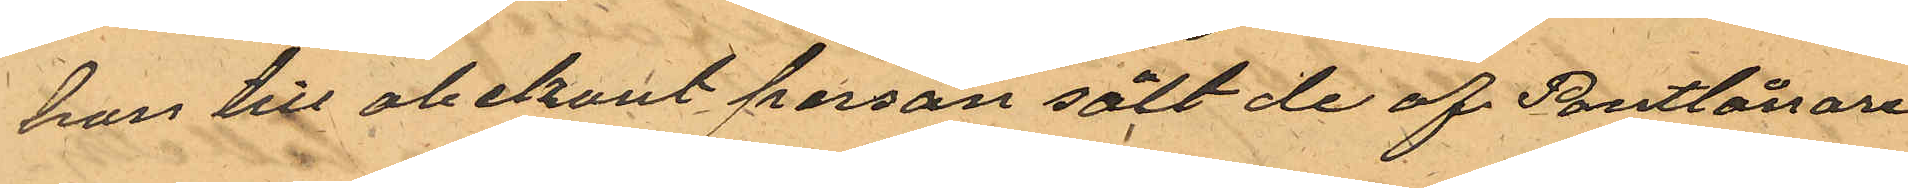han till obekant person sålt de af Pantlånare¬
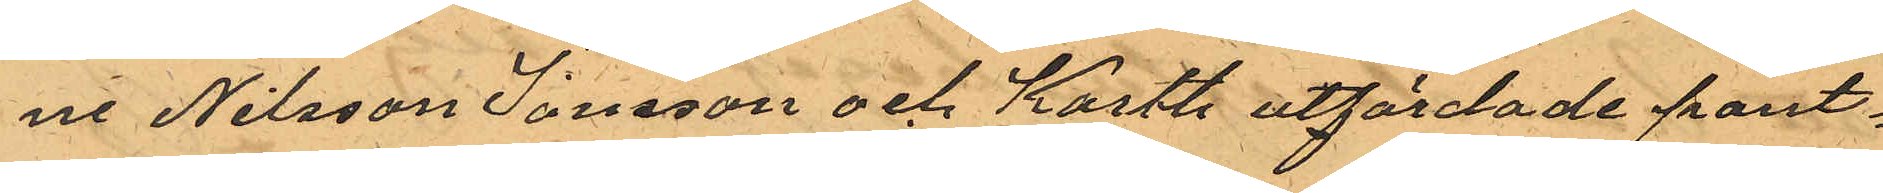ne Nilsson Jonsson och Karth utfärdade pant¬
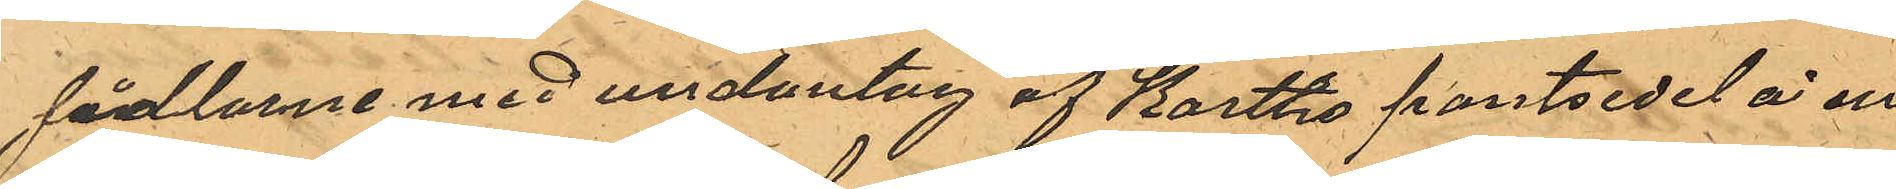sedlarne med undantag af Karths pantsedel å en
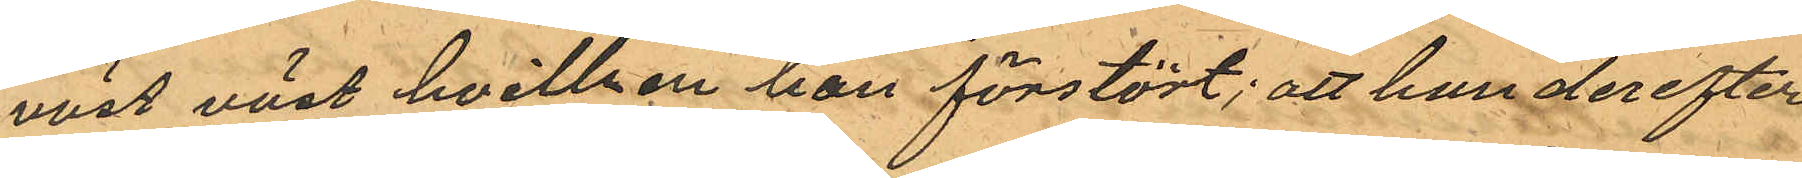väst väst hvilken han förstört; att han derefter
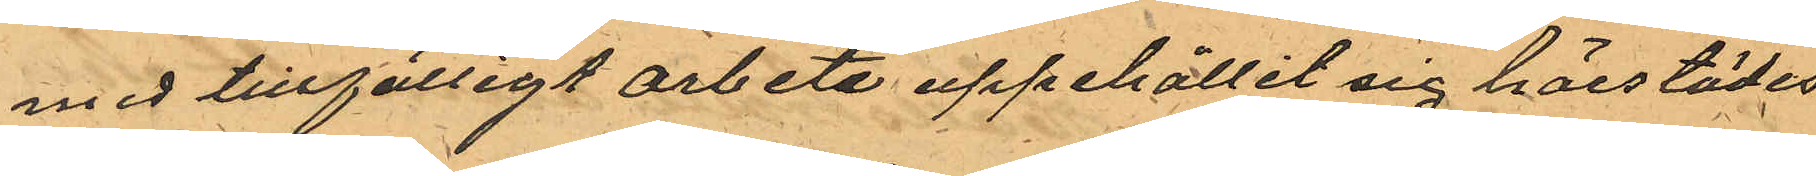med tillfälligt arbete uppehållit sig härstädes
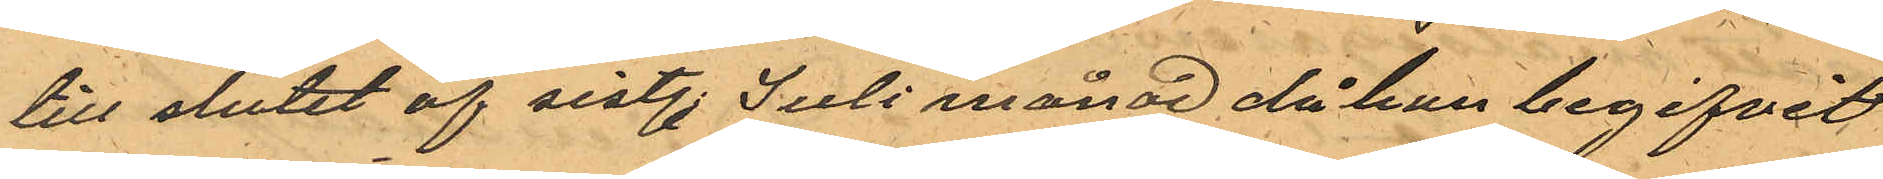till slutet af sistl. Juli månad då han begifvit
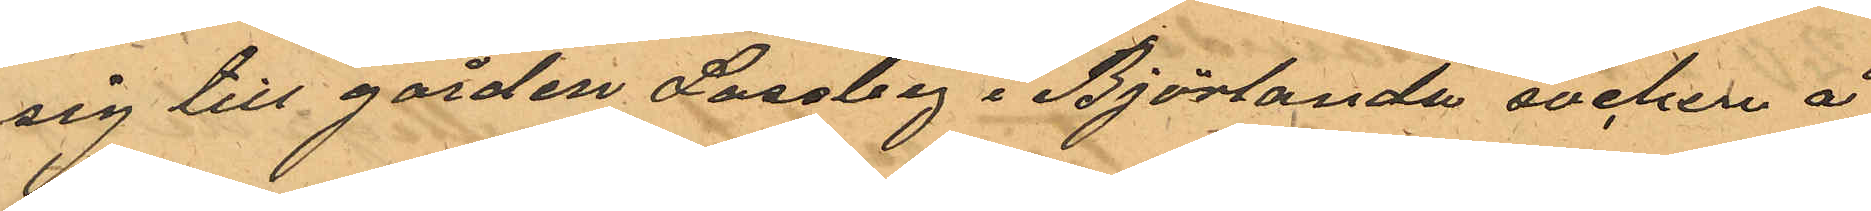sig till gården Lossby i Björlanda socken å
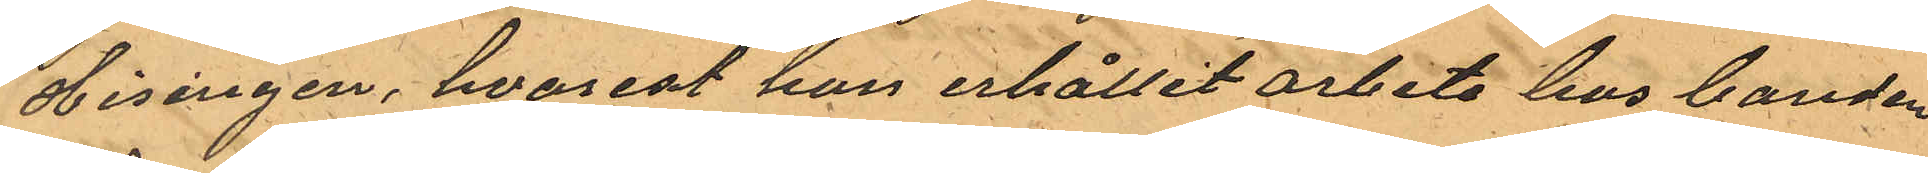Hisingen, hvarest hon erhållit arbete hos banden
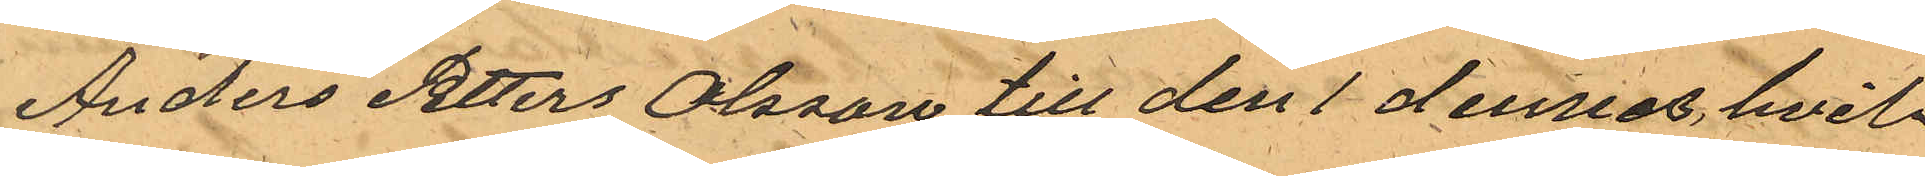Anders Petters Olsson till den 1 dennes hvil¬
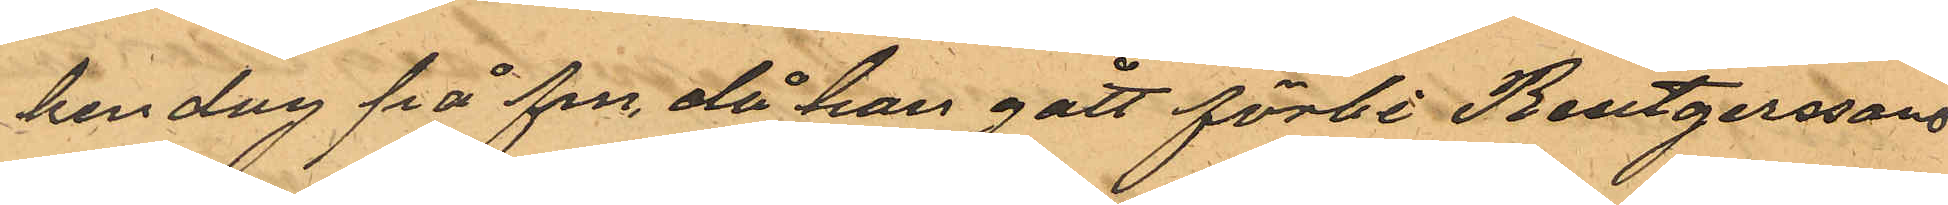ken dag på fm, då han gått förbi Reutgerssons
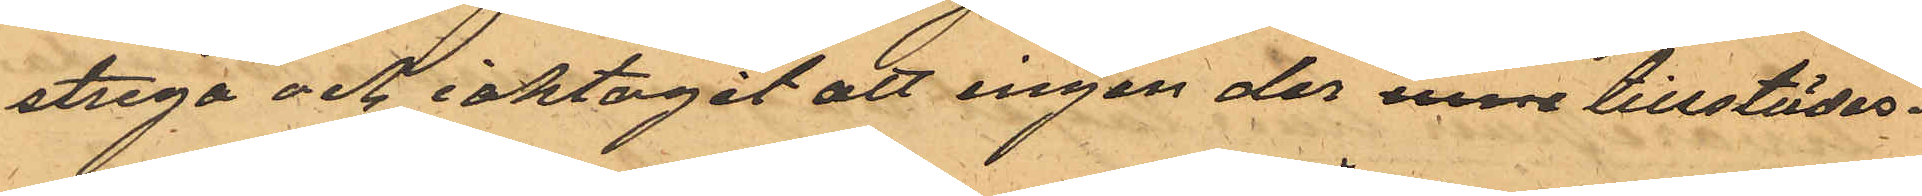stuga och iaktagit att ingen der inne tillstädes¬
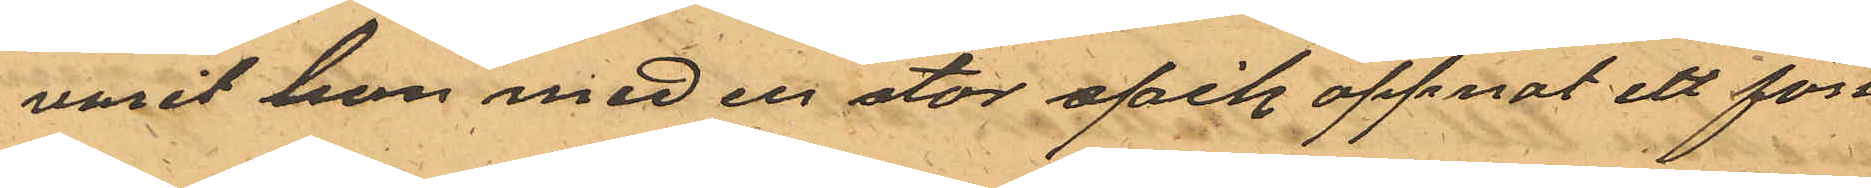varit han med en stor spik öppnat ett fön¬
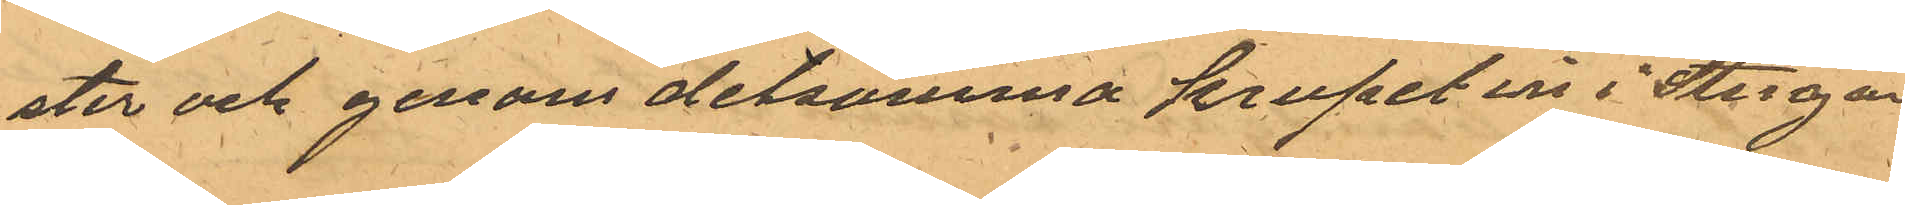ster och genom detsamma krupit in i Stugan
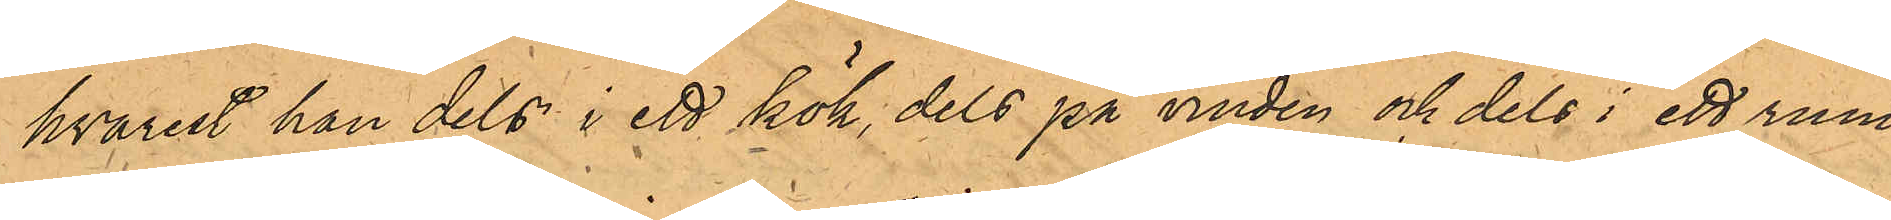hvarest han dels i ett kök, dels på vinden och dels i ett rum
